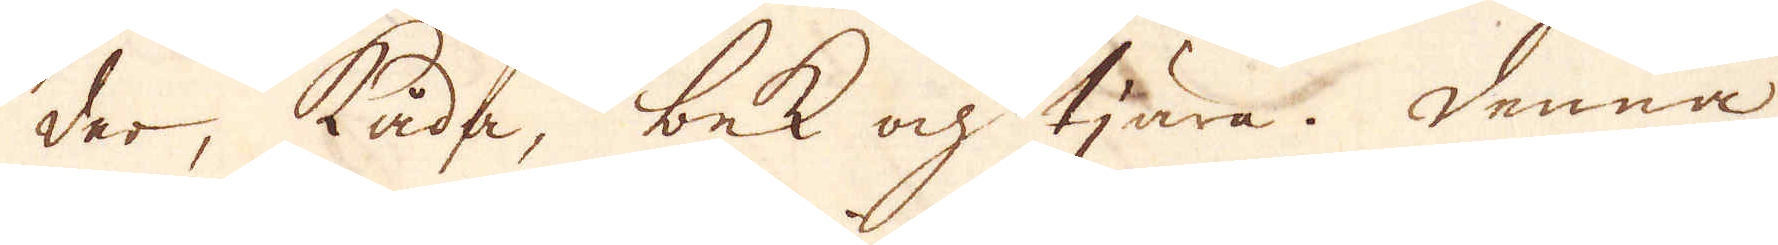der, kåda, bek och tjära. Denna
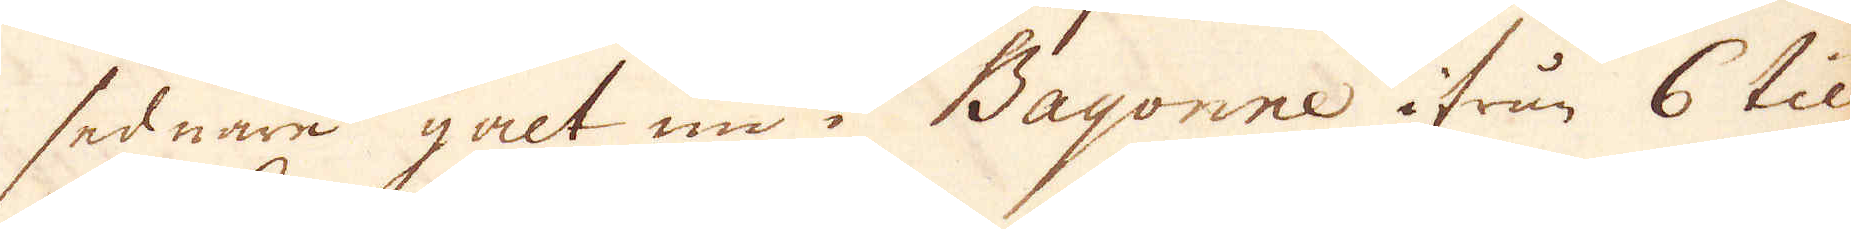sednare galt nu i Bayonne ifrån 6 til
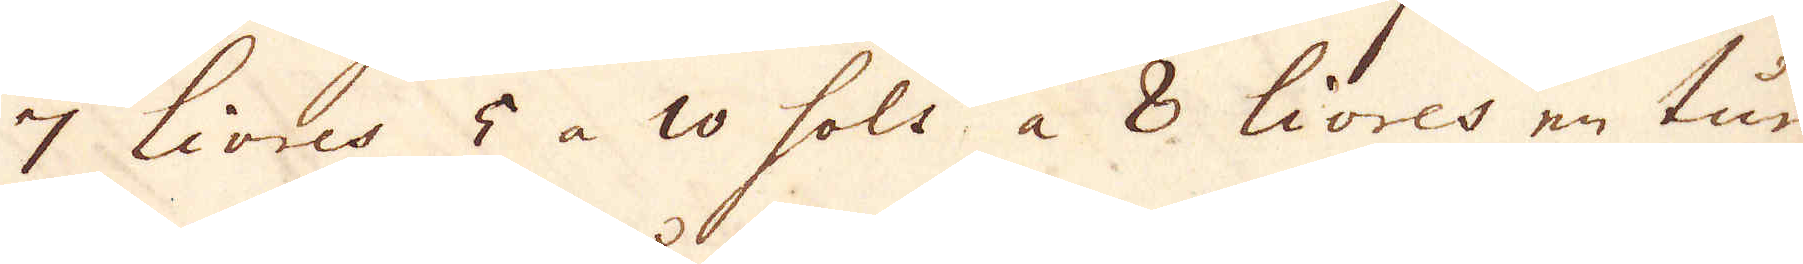7 Livres 5 à 10 sols a 8 livres en tun-
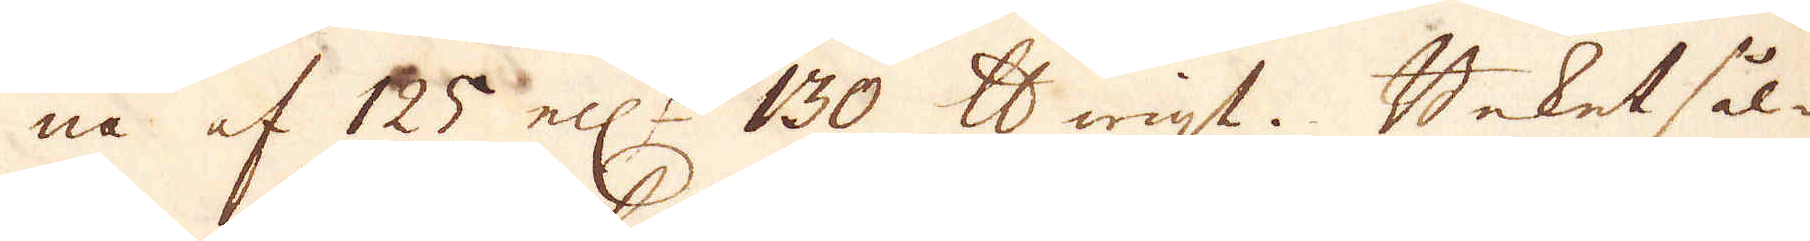na af 125 ell:r 130 skålpund wigt. Beket sål-
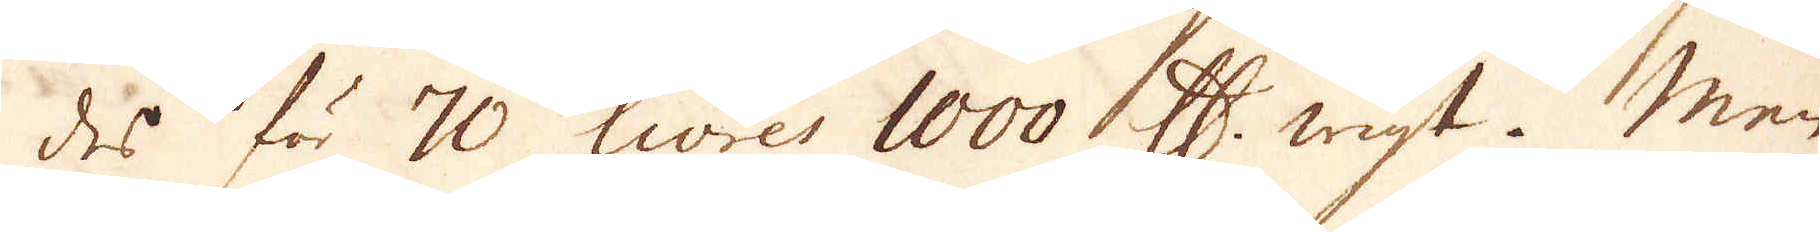des för 70 livres 1000 skålpund wigt. Men
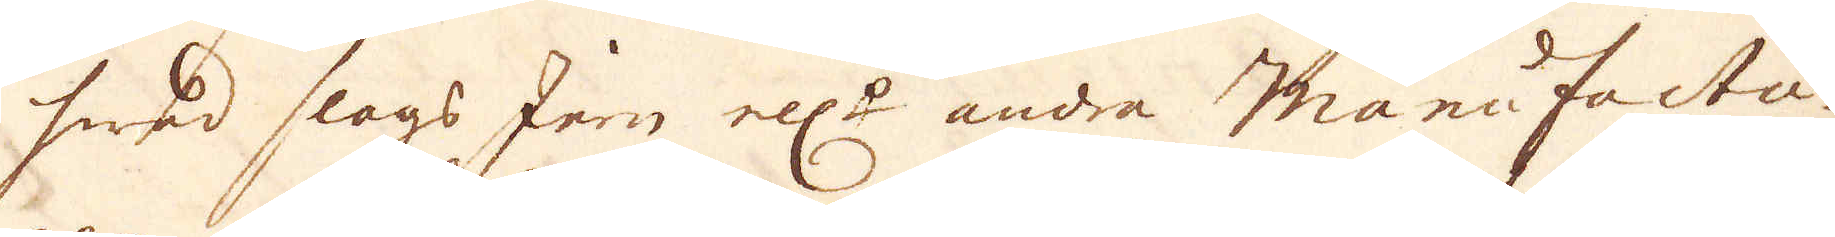hwad slogs Jern ell:r andra manufactu-
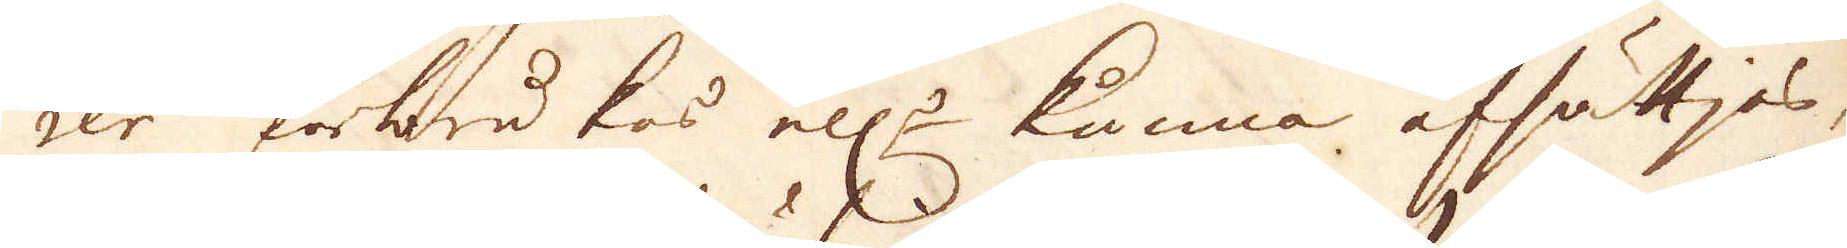rer förbrukas ell:r kunna afsättjas,
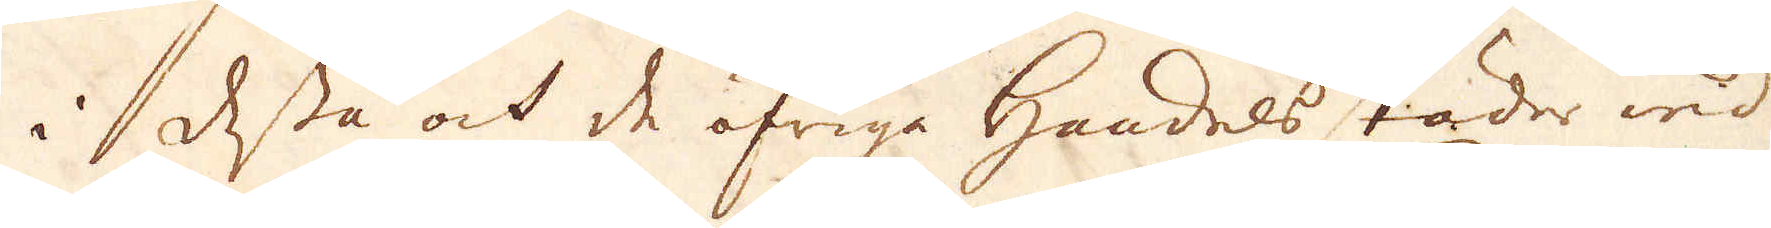i dessa ock de öfriga handels städer wid
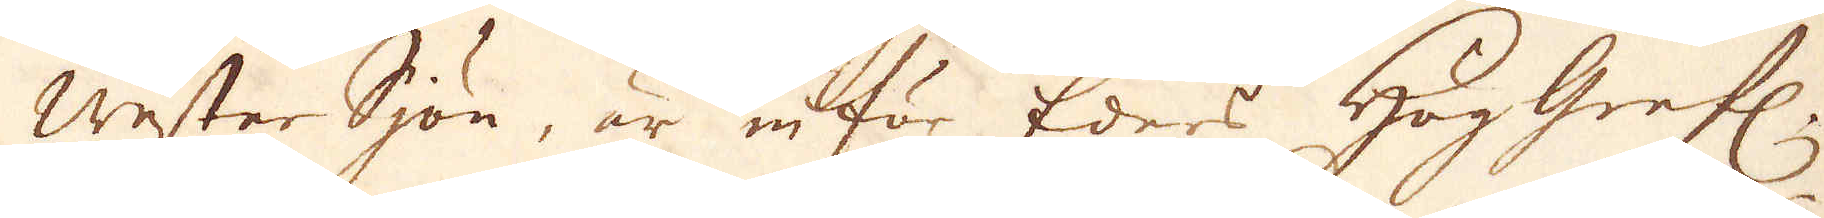WesterSjön, är inför Eders HögGrefl.
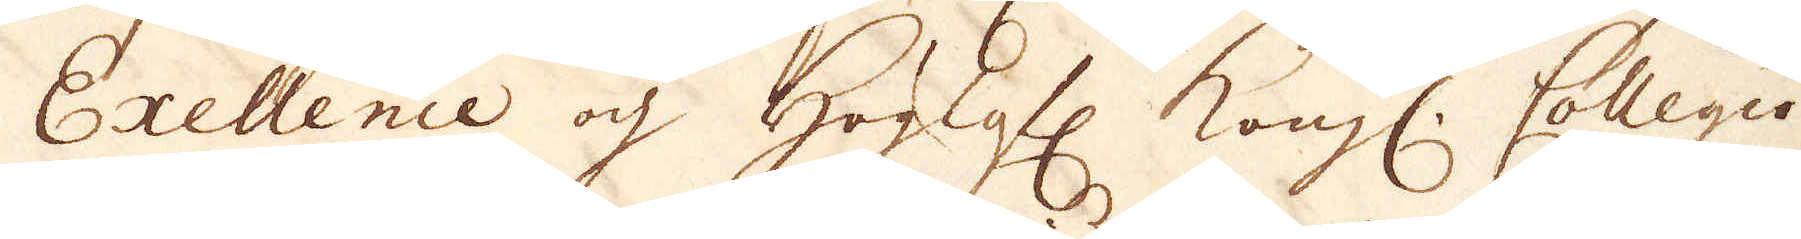Exellence och Höglofl: kongl: Collegio
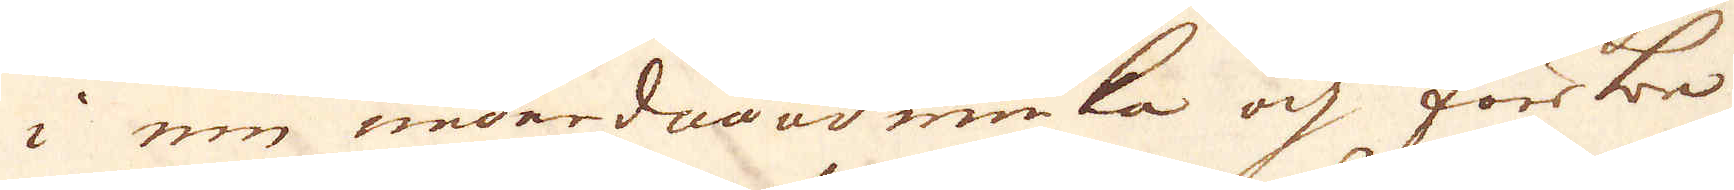i min underdån ödmiuka och förbe-
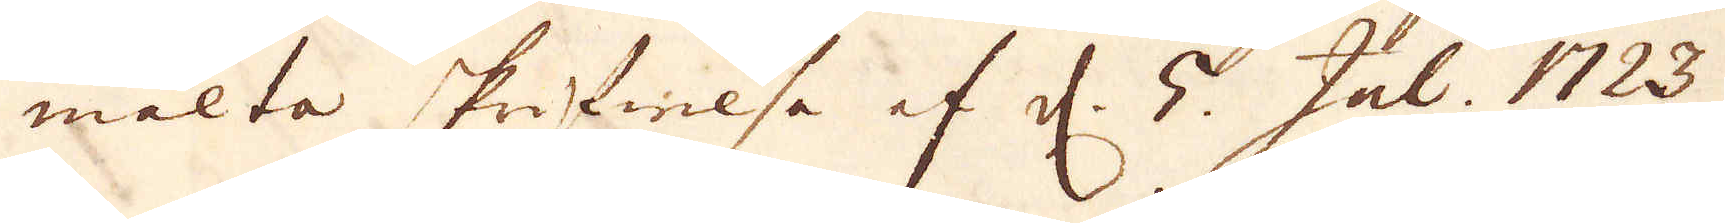mälta skrifwelse af d. 5. Jul. 1723
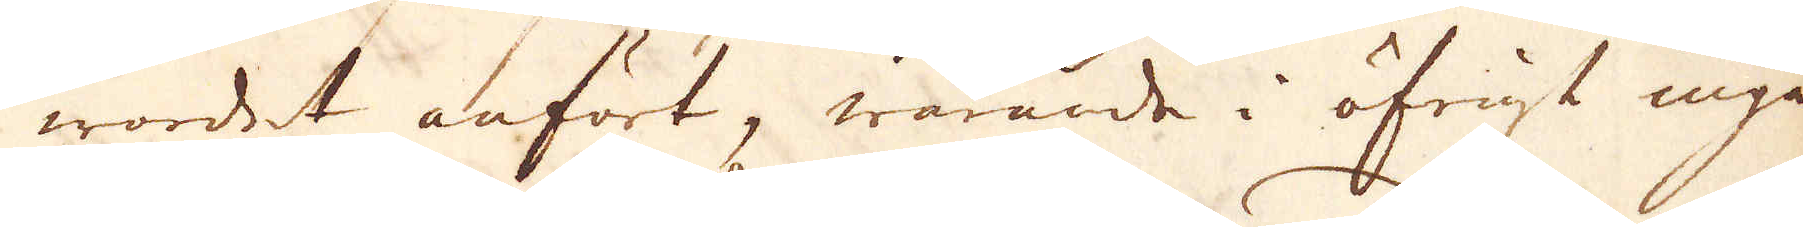wordet anfört, warande i öfrigt inge
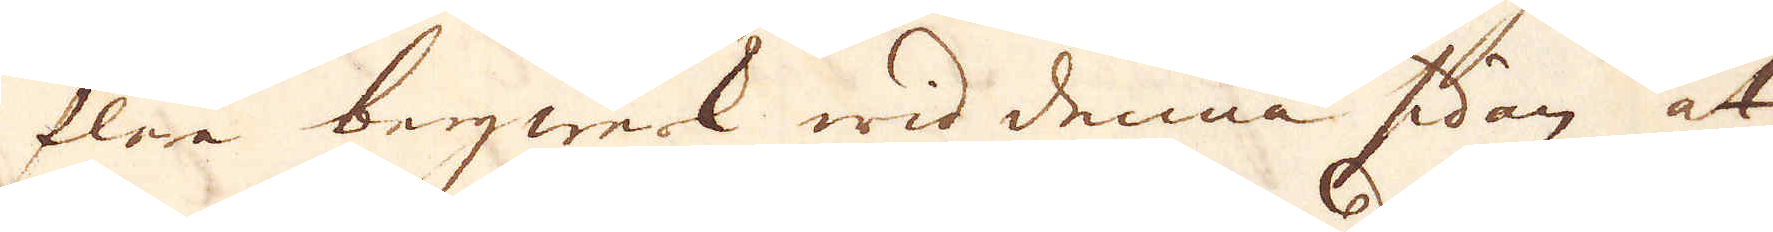flera bergwerk wid denna sidan at
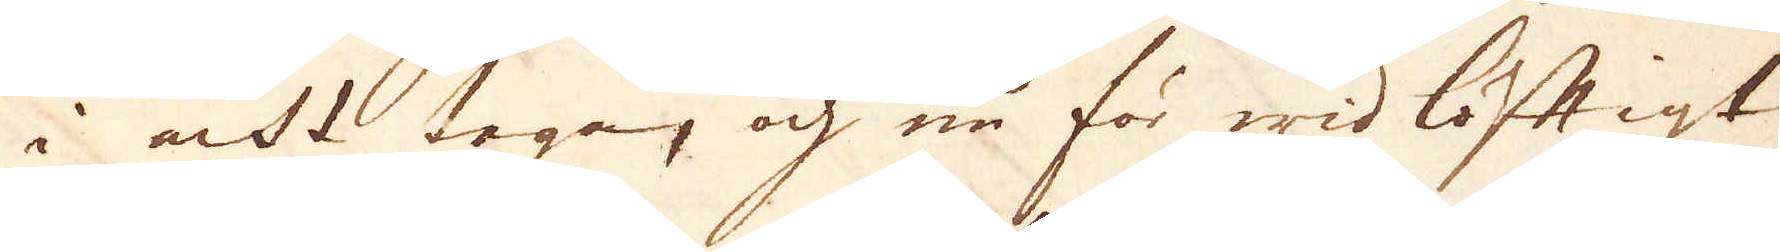i acht taga, och nu för wid löftigt
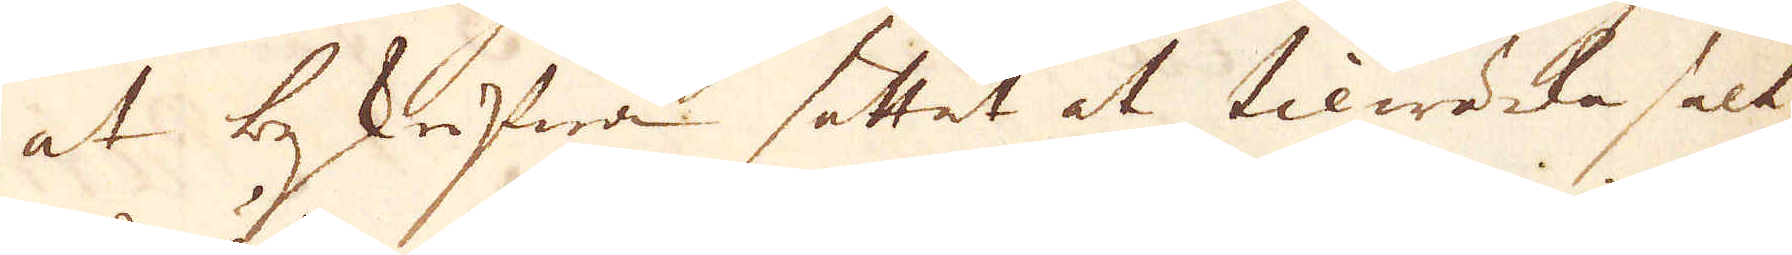at bekrifwa sättet at tilwärka salt
